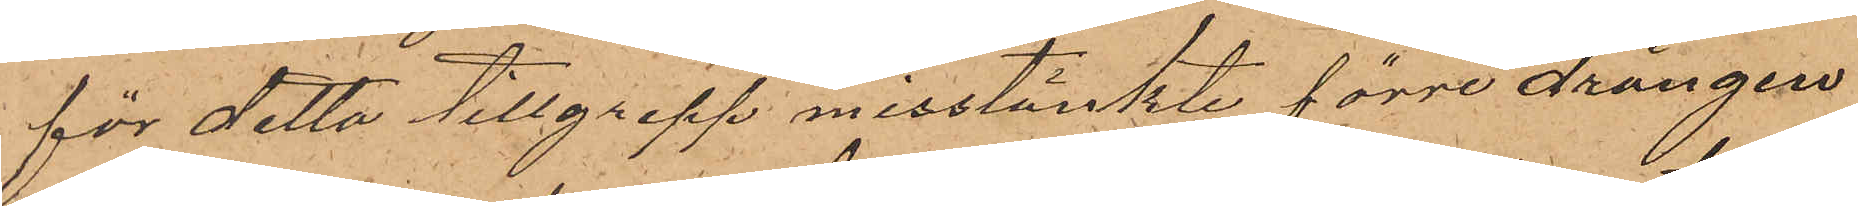för detta tillgrepp misstänkte förre drängen
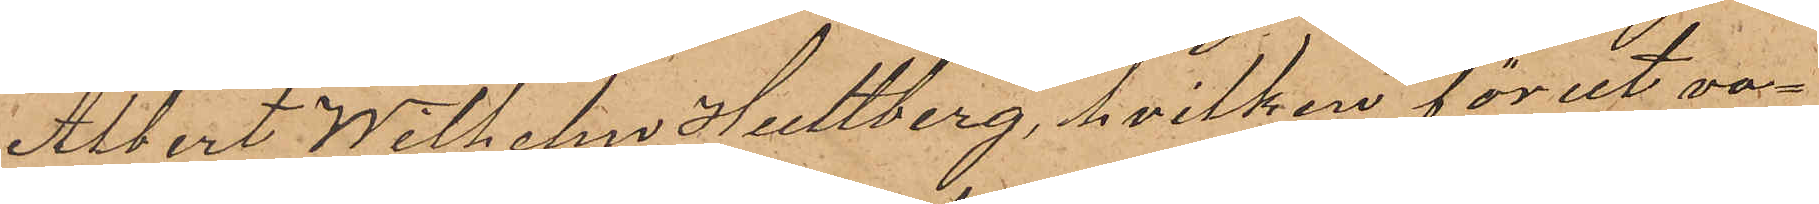Albert Wilhelm Hultberg, hvilken förut va¬
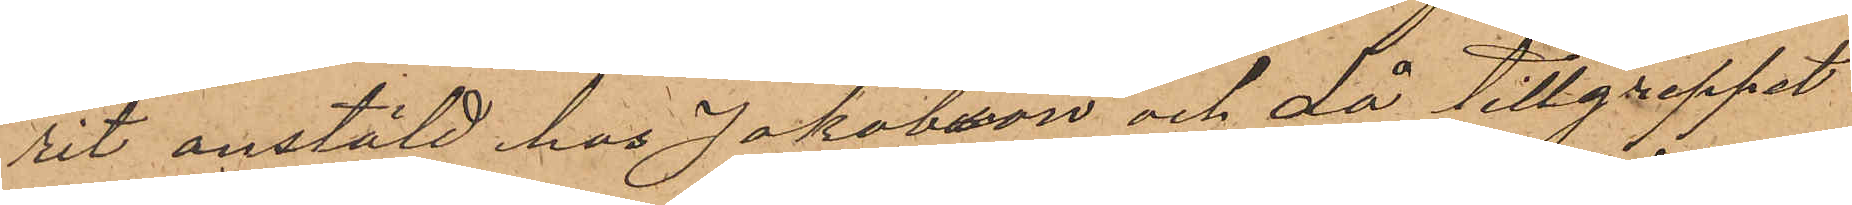rit anstäld hos Jakobsson och då tillgreppet
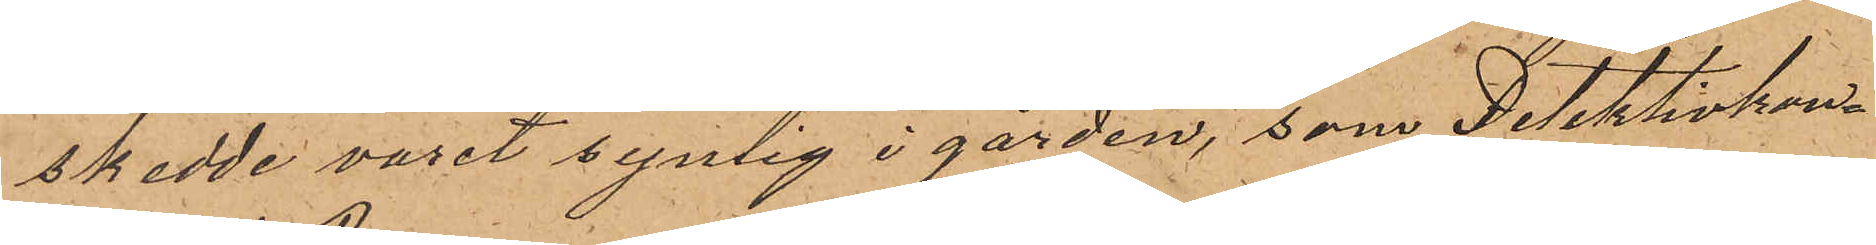skedde varit synlig i gården, som Detektivkon¬
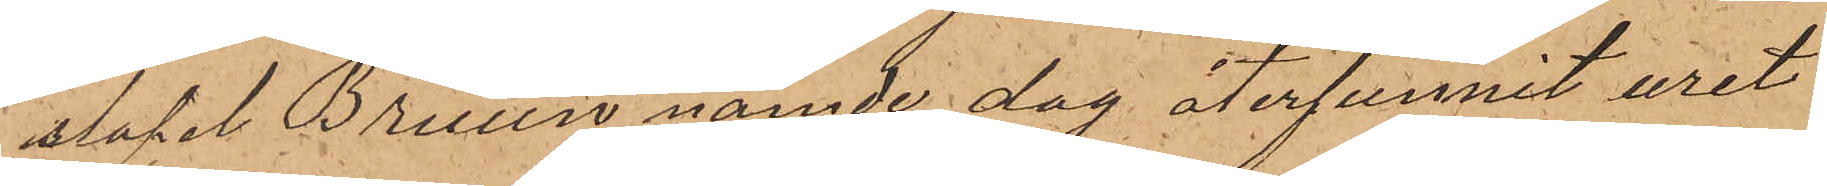stapel Bruun nämde dag återfunnit uret
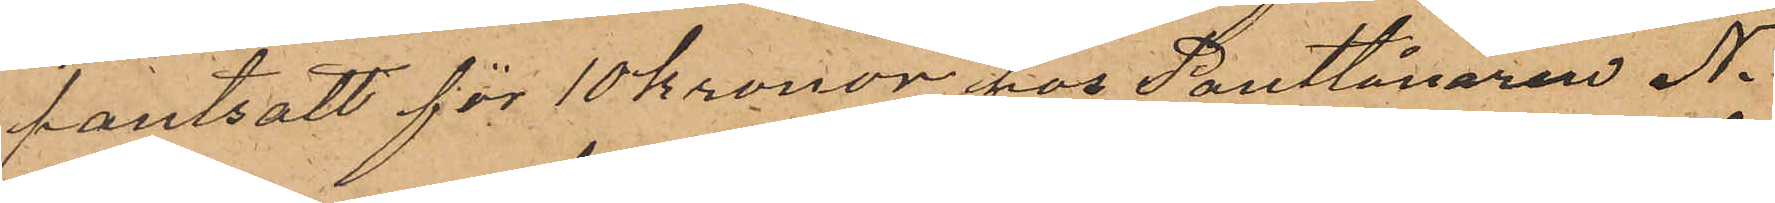pantsatt för 10 Kronor hos Pantlånaren N.
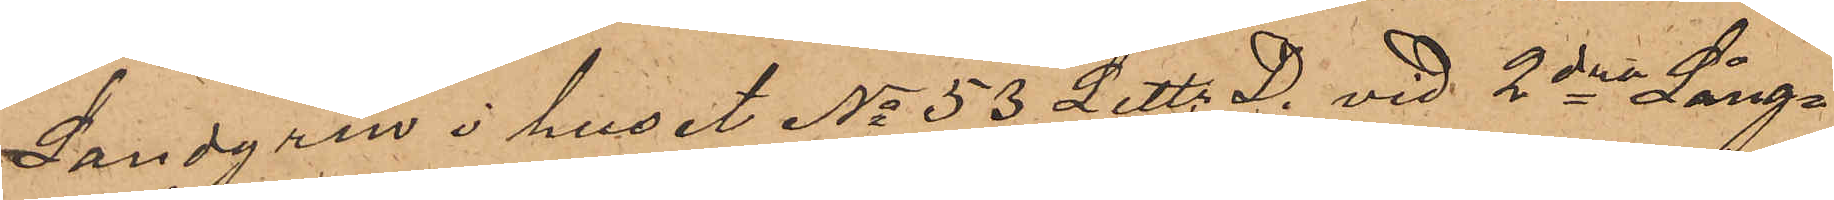Landgren i huset No 53 Litt. D. vid 2dra Lång¬
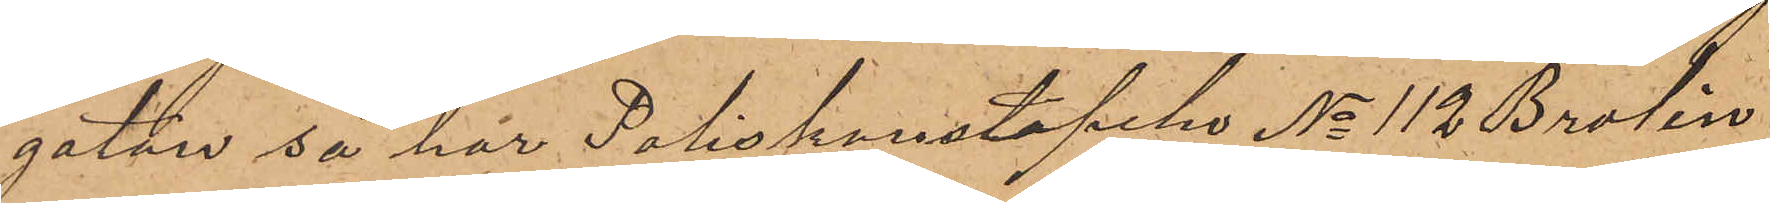gatan så har Poliskonstapeln No 112 Brolin
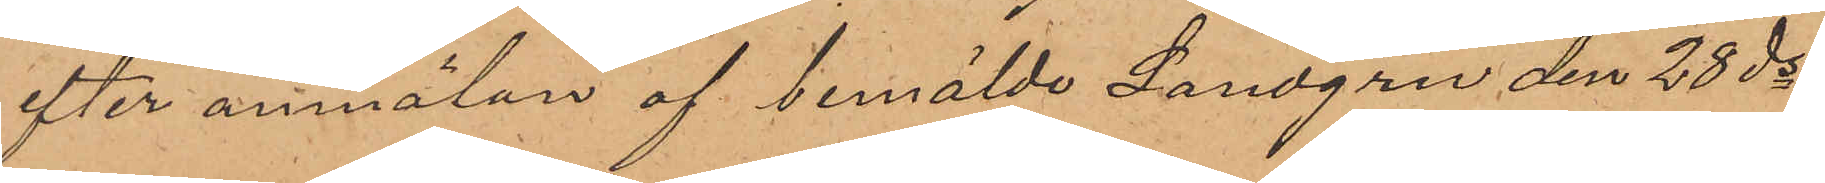efter anmälan af bemälde Landgren den 28 ds
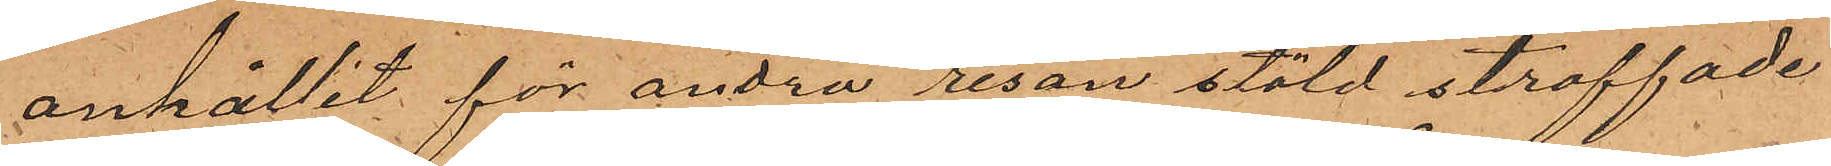anhållit för andra resan stöld straffade
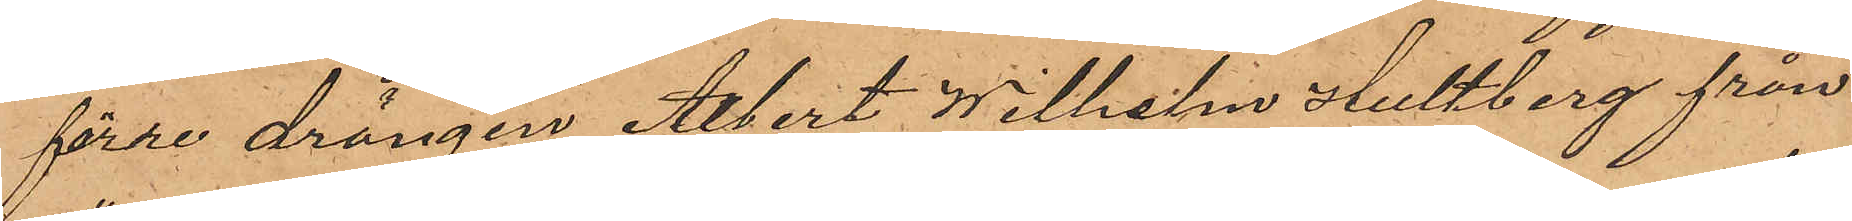förre drängen Albert Wilhelm Hultberg från
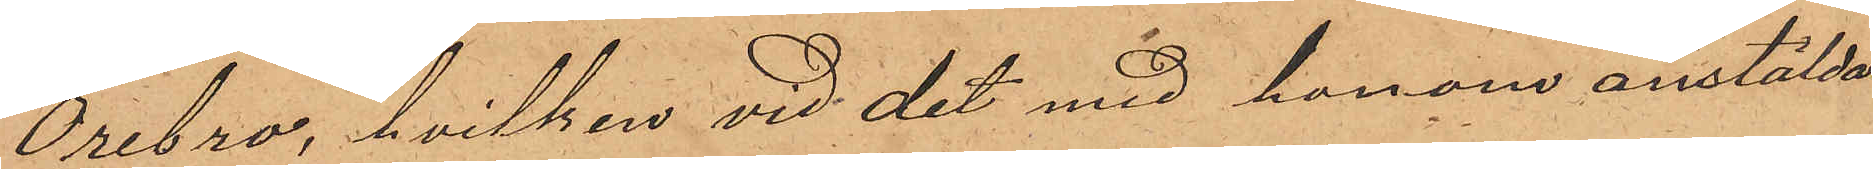Örebro, hvilken vid det med honom anstälda
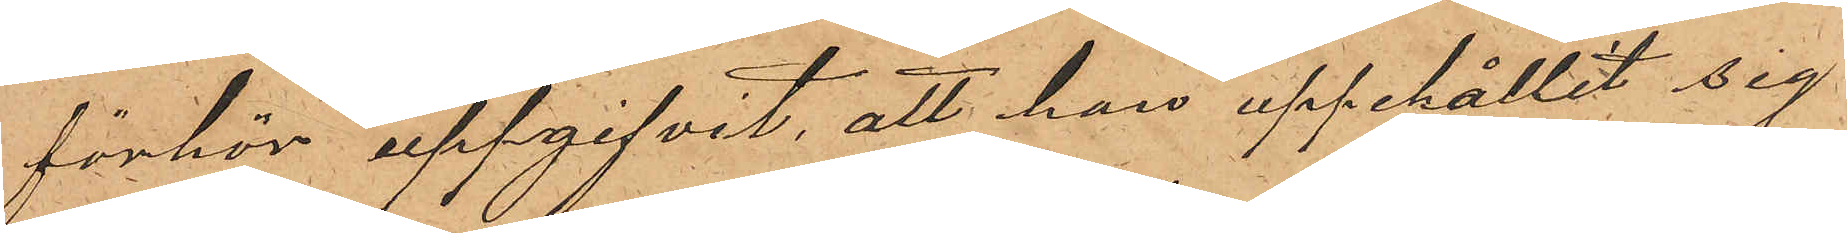förhör uppgifvit, att han uppehållit sig
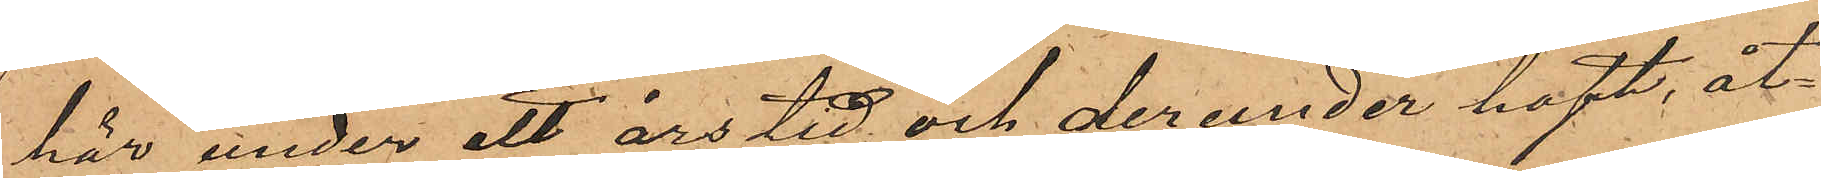här under ett års tid och derunder haft åt¬
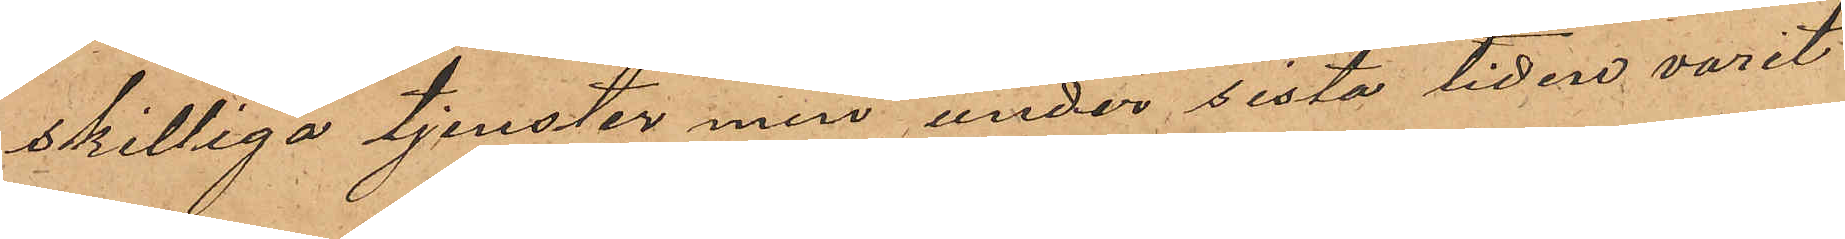skilliga tjenster men under sista tiden varit
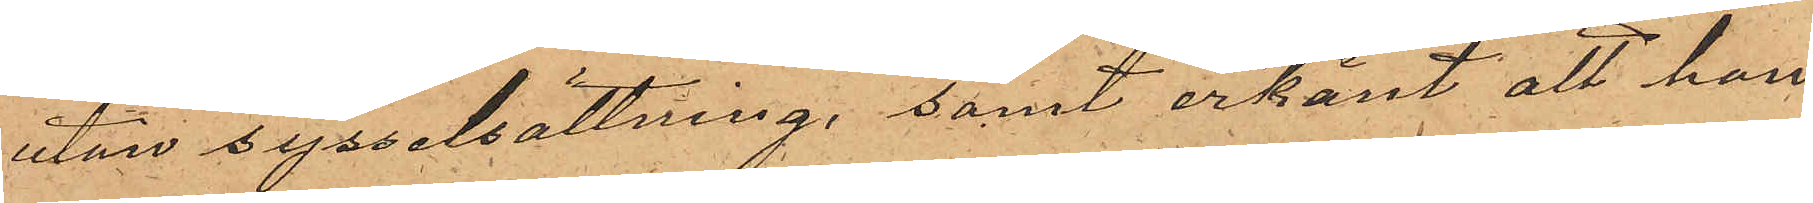utan sysselsättning, samt erkänt att han
